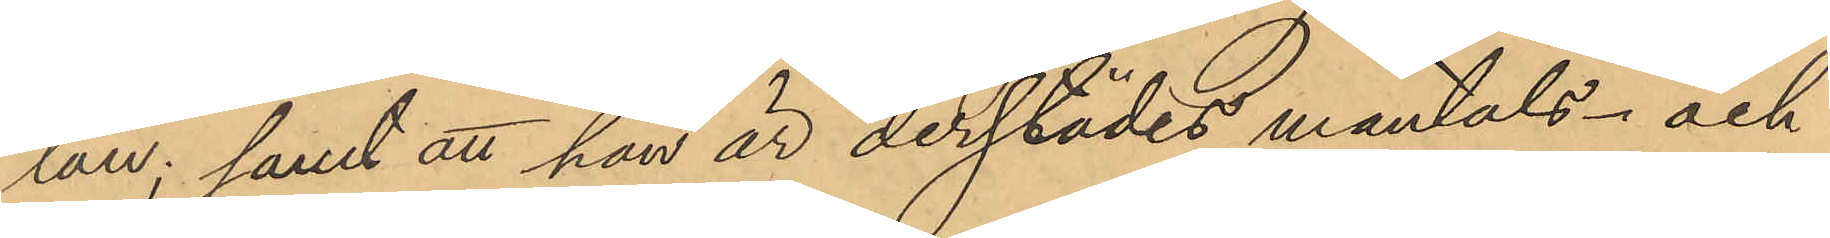län; samt att han är derstädes mantals- och
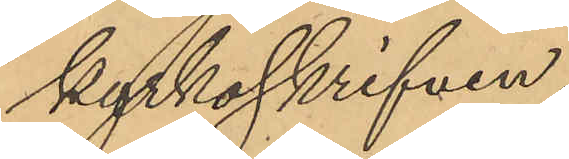kyrkoskrifven.
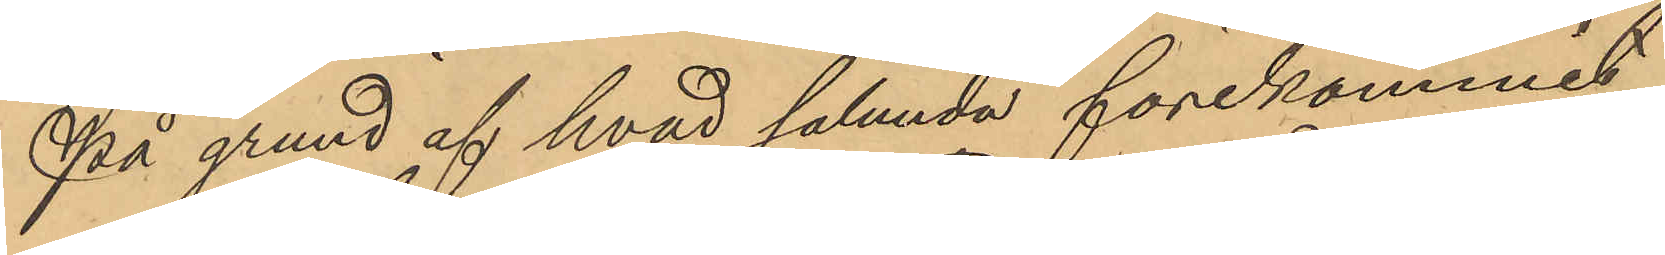På grund af hvad sålunda förekommit
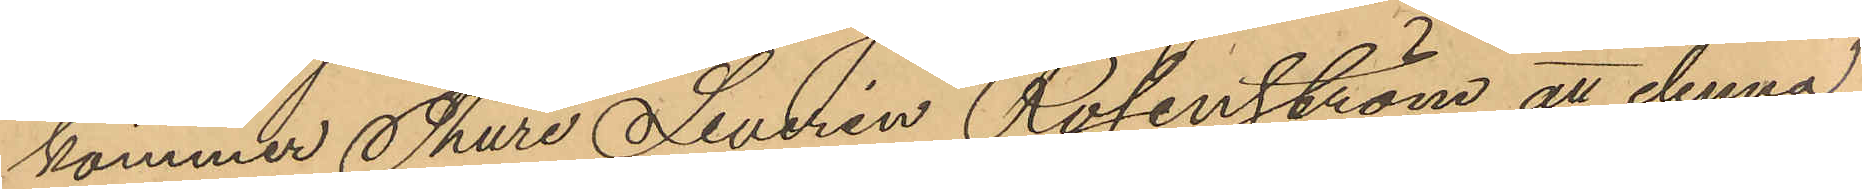kommer Thure Severin Rosenström att denna
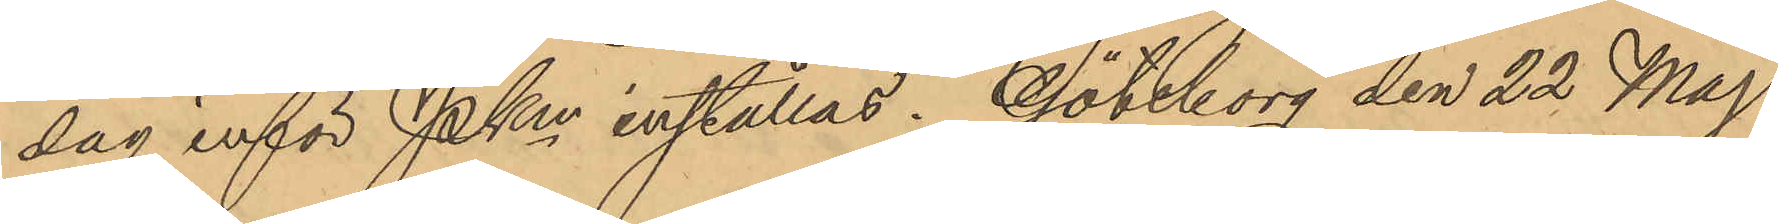dag inför PKm inställas. Göteborg den 22 Maj
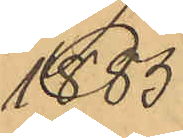1885
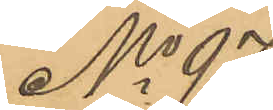No 97
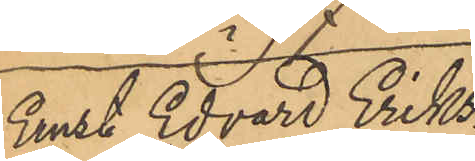Ernst Edvard Eriks¬
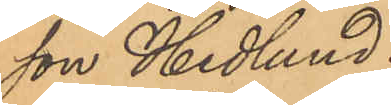son Hedlund.
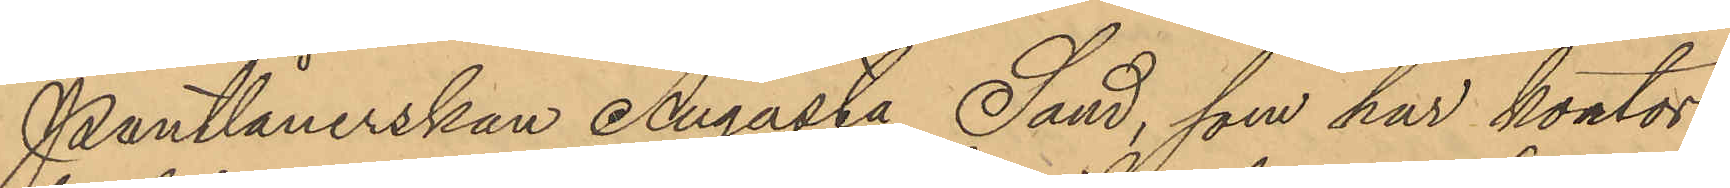Pantlånerskan Augusta Sand, som har kontor
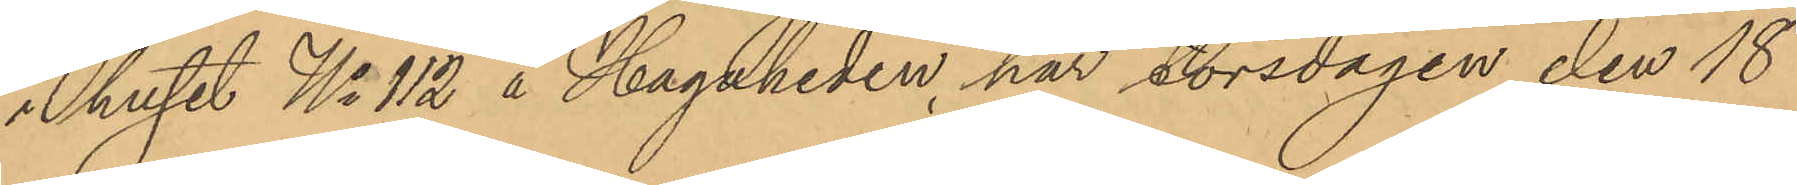i huset No 112 å Hagaheden, har torsdagen den 18
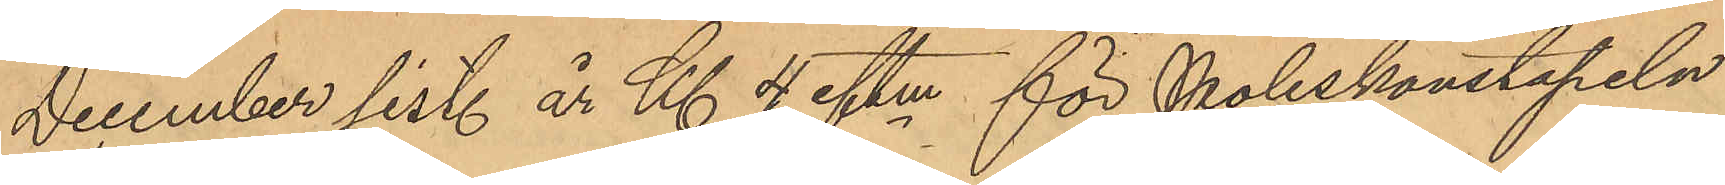December sist. år Kl. 4 eftm för Poliskonstapeln
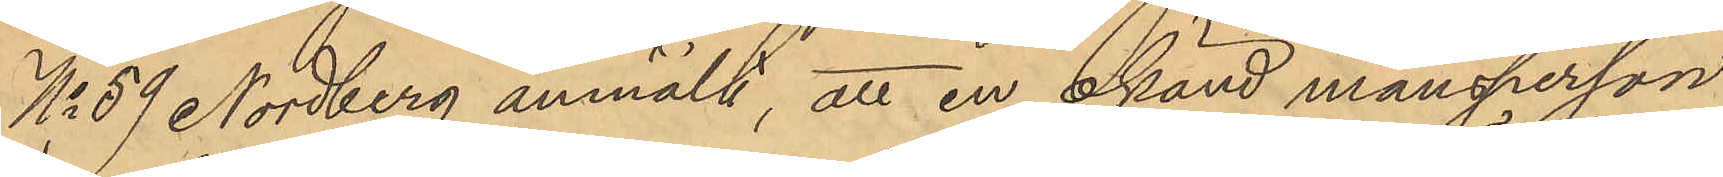No 59 Nordberg anmält, att en okänd mansperson
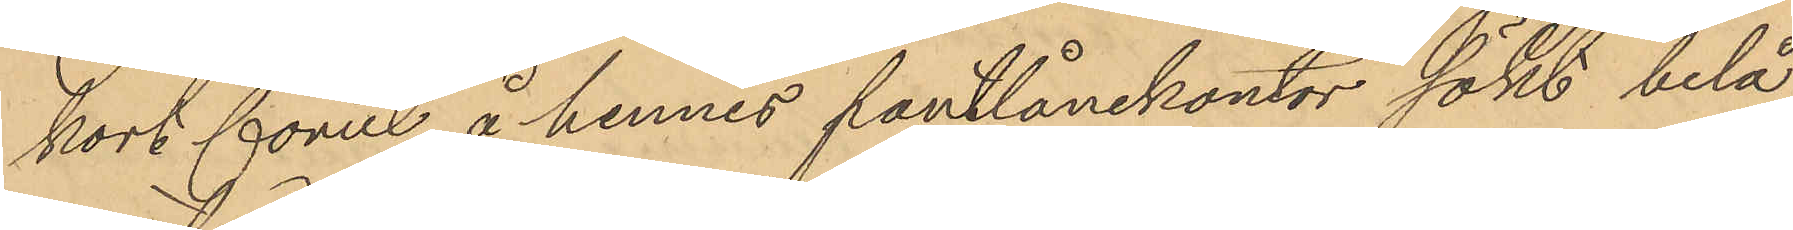kort förut å hennes pantlånekontor sökt belå¬
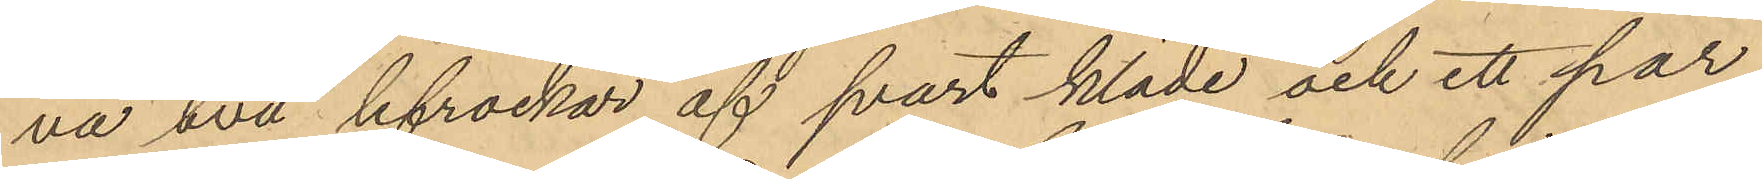na två hfrackar af svart kläde och ett par
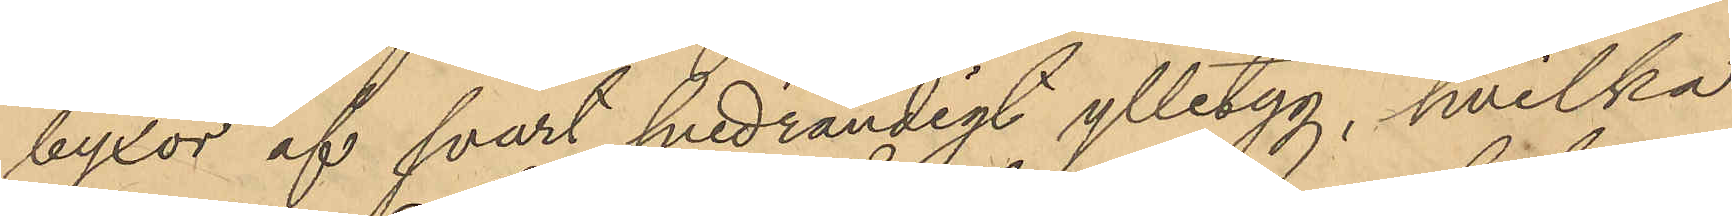byxor af svart snedrandigt ylletyg, hvilka
